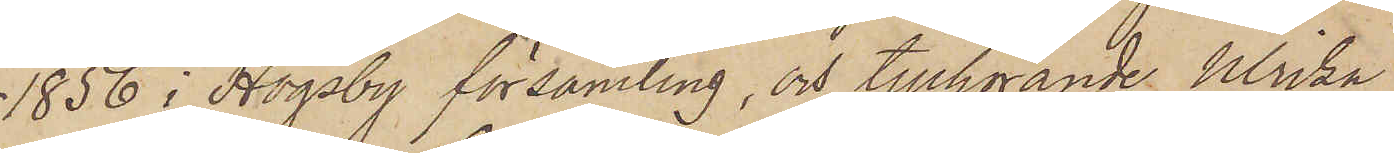1856 i Högsby församling, och tillhörande Ulrika
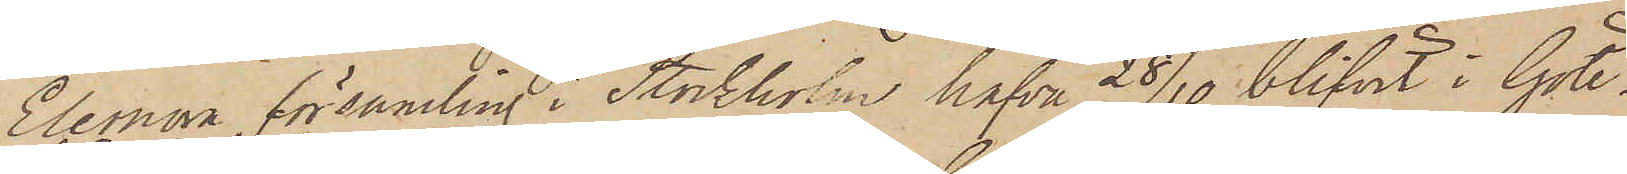Eleonora församling i Stockholm hafva 28/10 blifvit i Göte¬
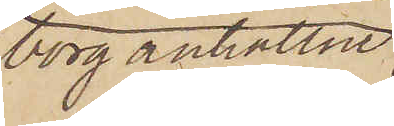borg anhållne
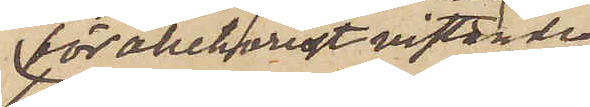för obehörigt vistande
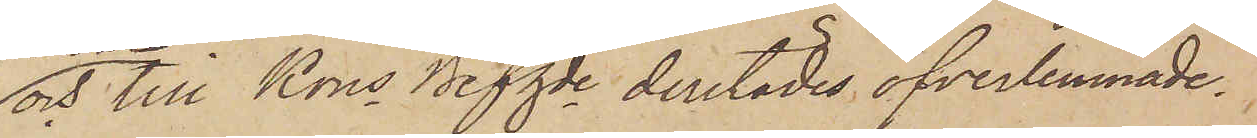och till Kons Befhde derstädes öfverlemnade.
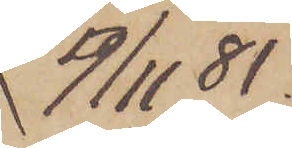9/11 81.
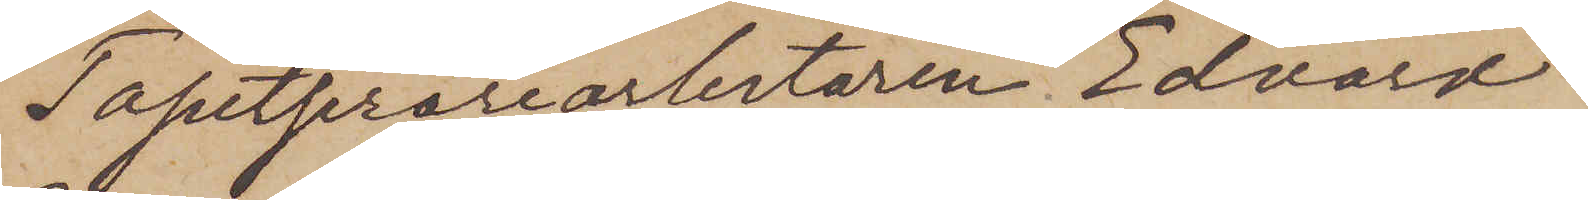Tapetserarearbetaren Edvard
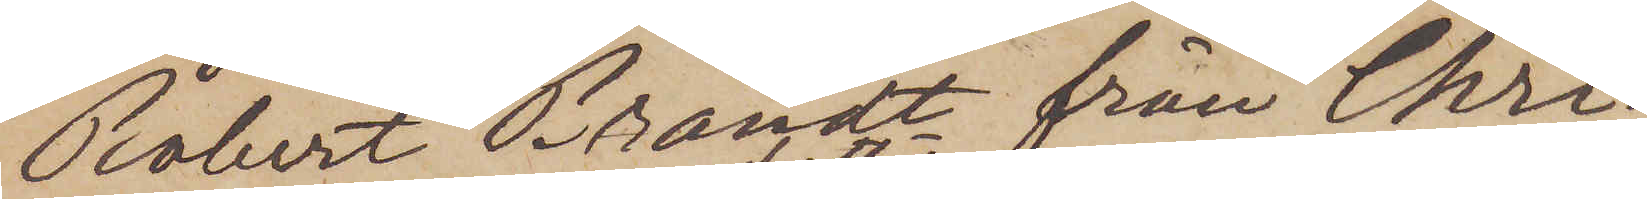Robert Brandt från Chri¬
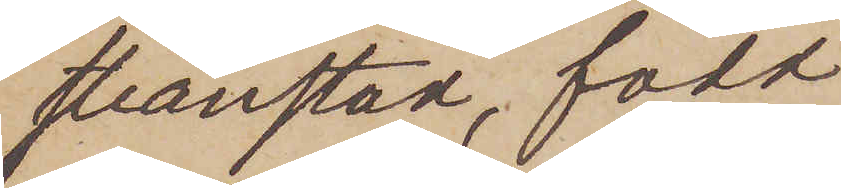stianstad, född
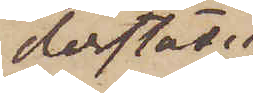derstädes
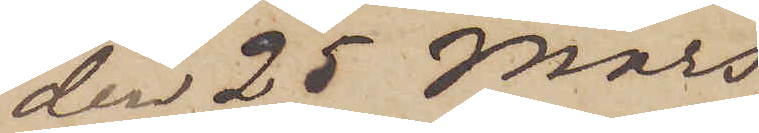den 25 Mars
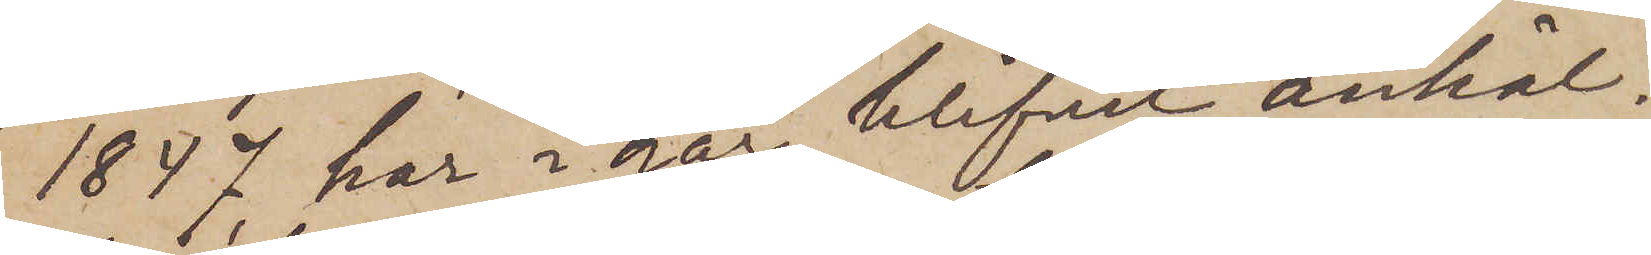1847 har i går blifvit anhål¬
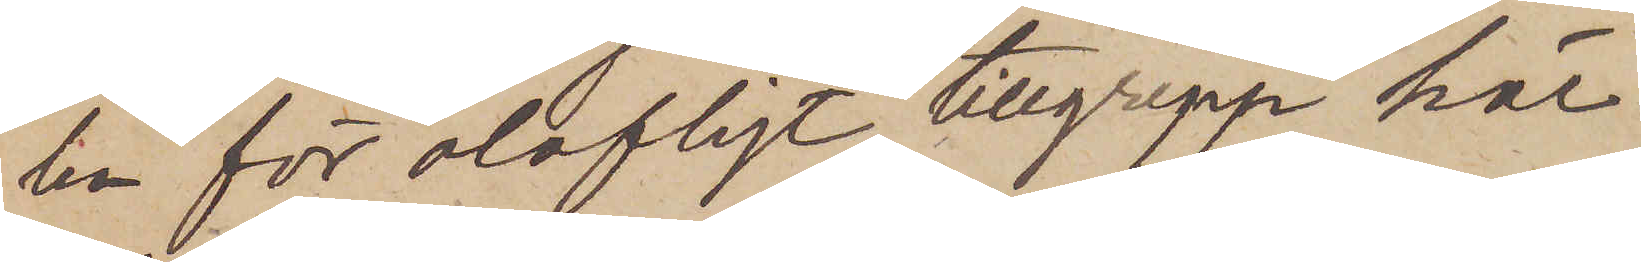len för olofligt tillgrepp här
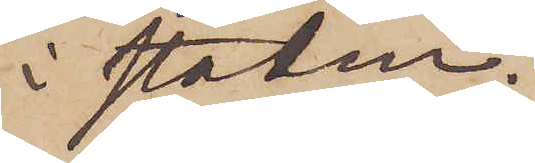i staden.
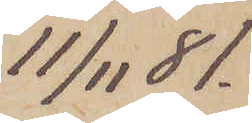11/11  81.
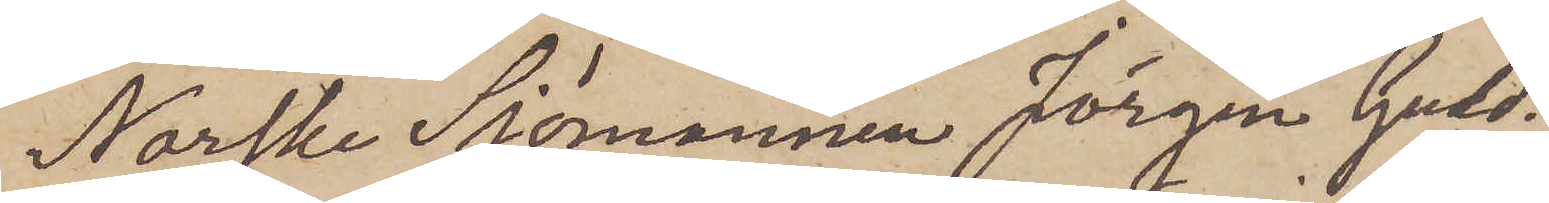Norske Sjömannen Jörgen Guld¬
